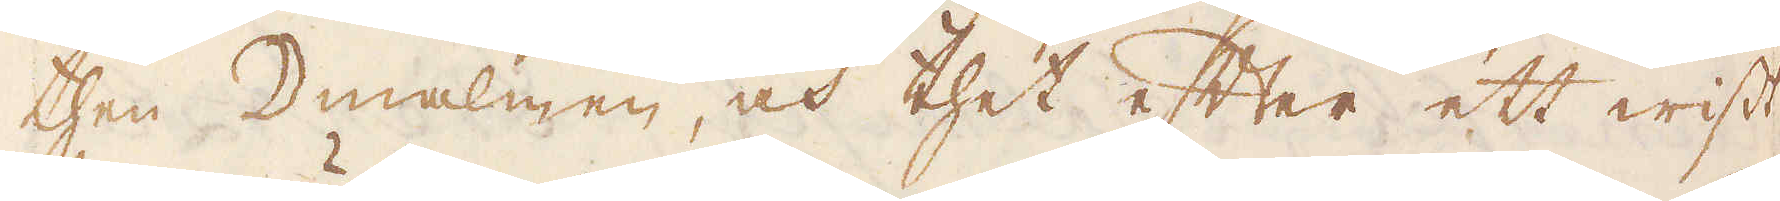then ☽malmen, och thet efter ett wist
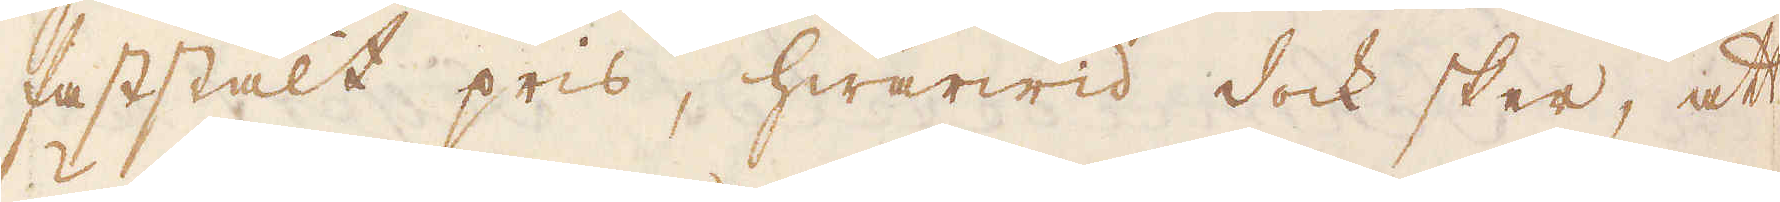faststält pris, hwarwid dock sker, att
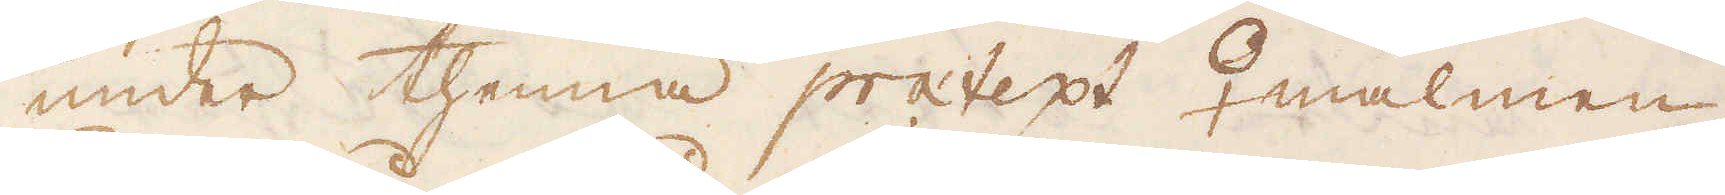under thenna pratept ♀malmen
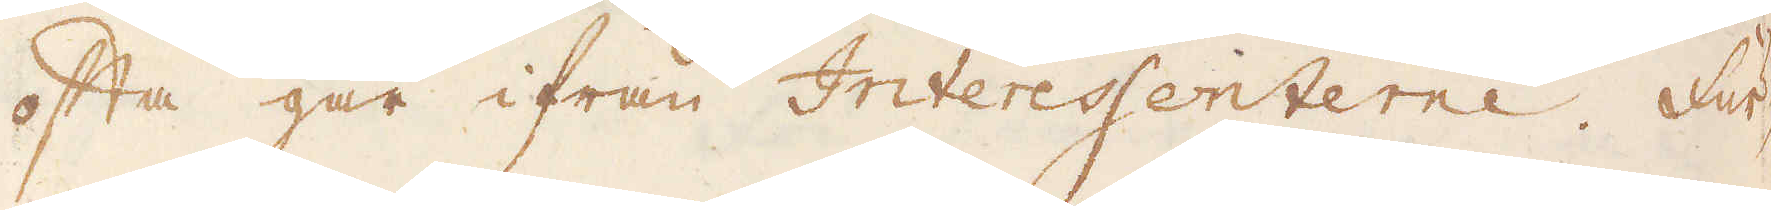ofta går ifrån Interessenterne. Fur-
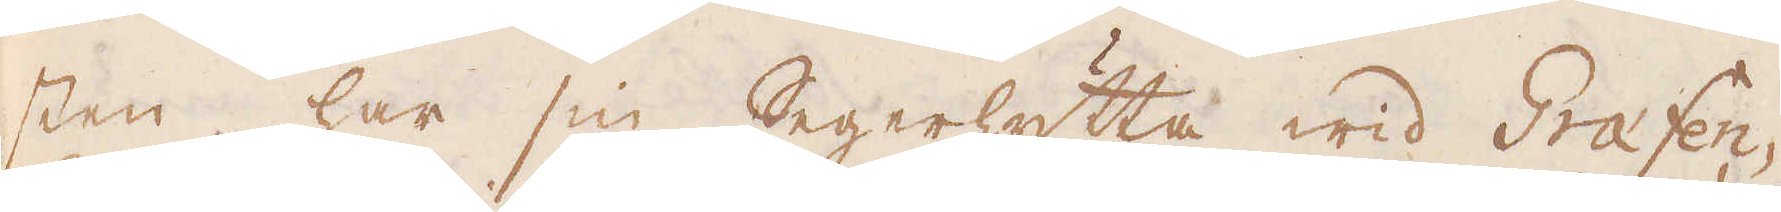sten har sin Segerhytta wid Grafen-
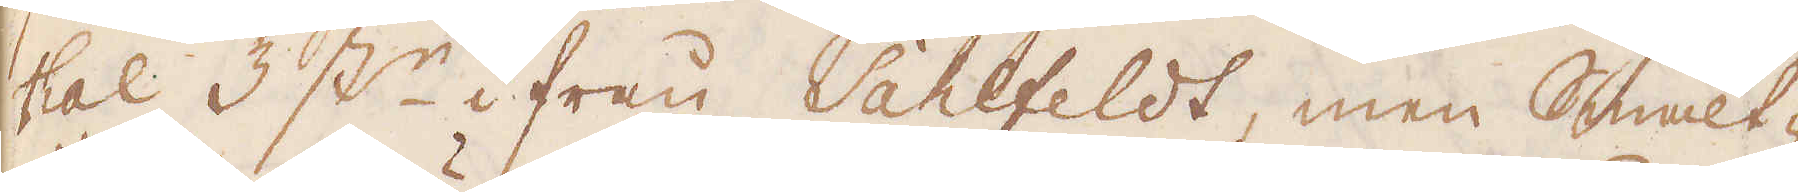thal 3 st:r ifrån Sahlfeldt, men Smält-
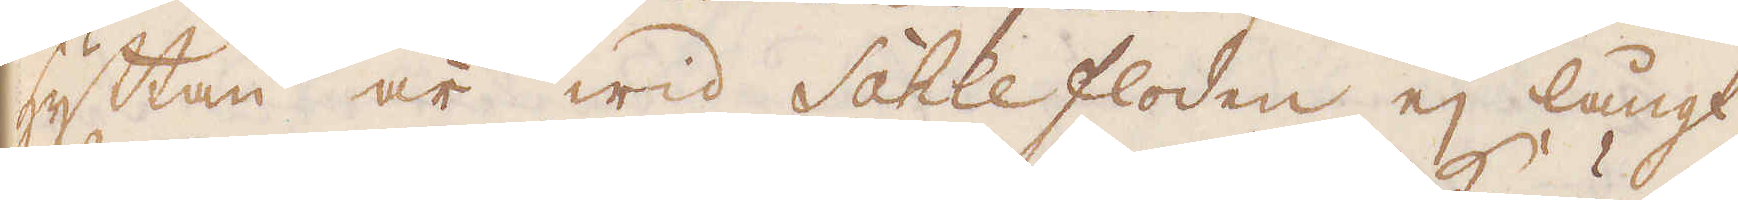hyttan är wid Sahlefloden ej långt
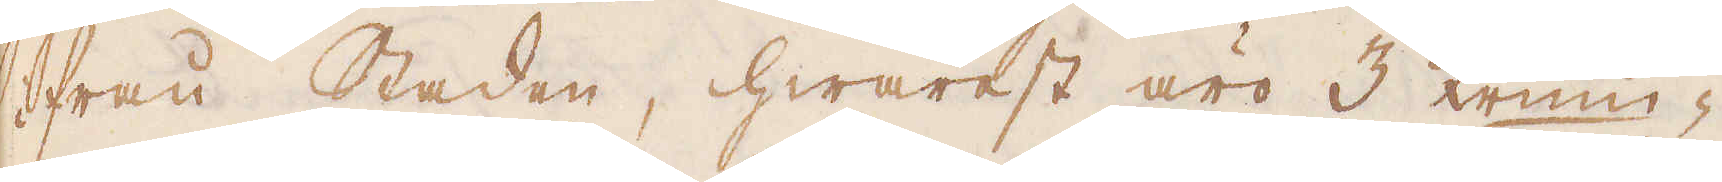ifrån Staden, hwarest äro 3 Krum-
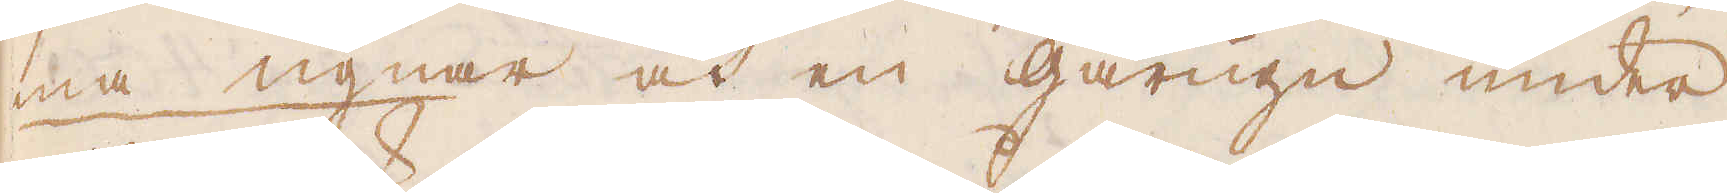ma ugnar och en gårugn under
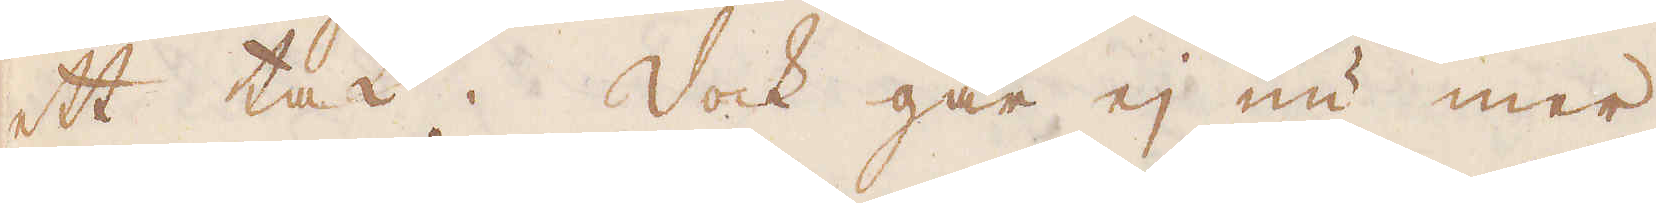ett tak. Dock går ej nu mer
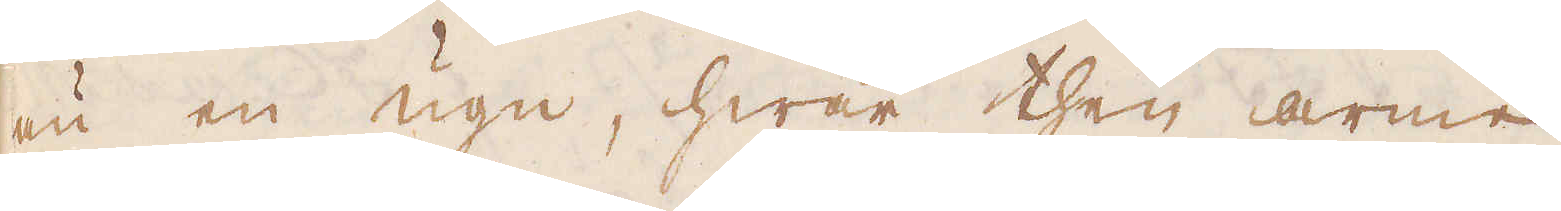än en ugn, hwar then arme
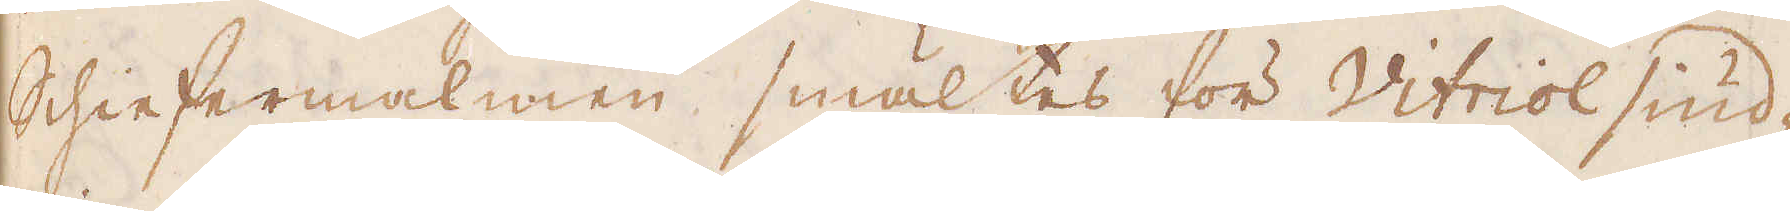Schiefermalmen smältes för Vitriol siud-
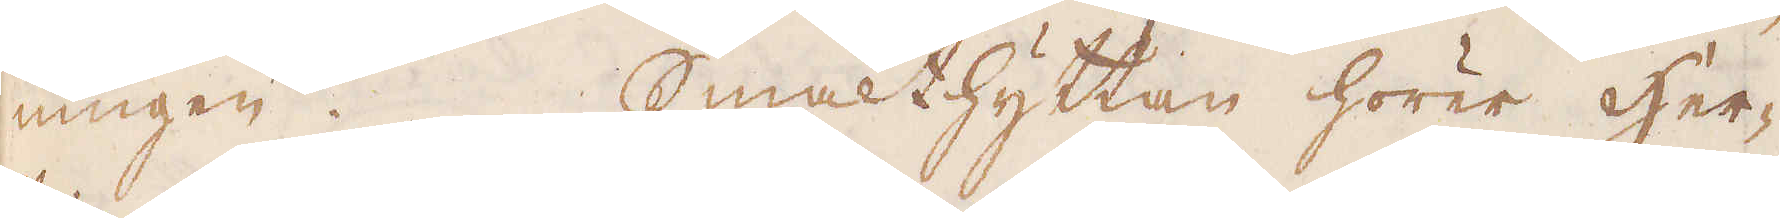ningen. Smälthyttan hörer Her-
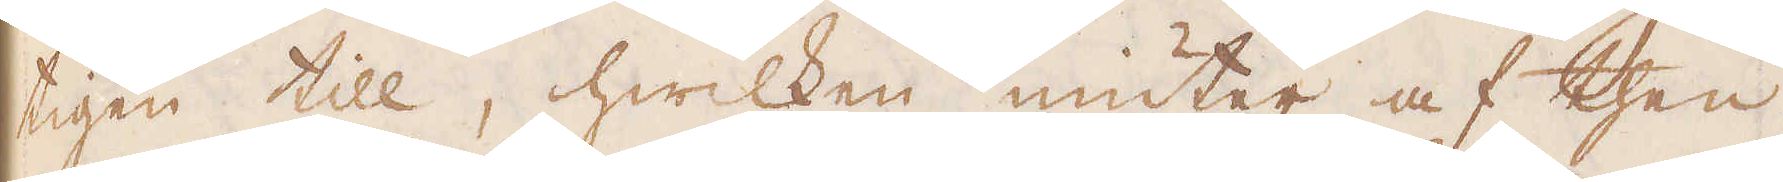tigen till, hwilken niuter af then
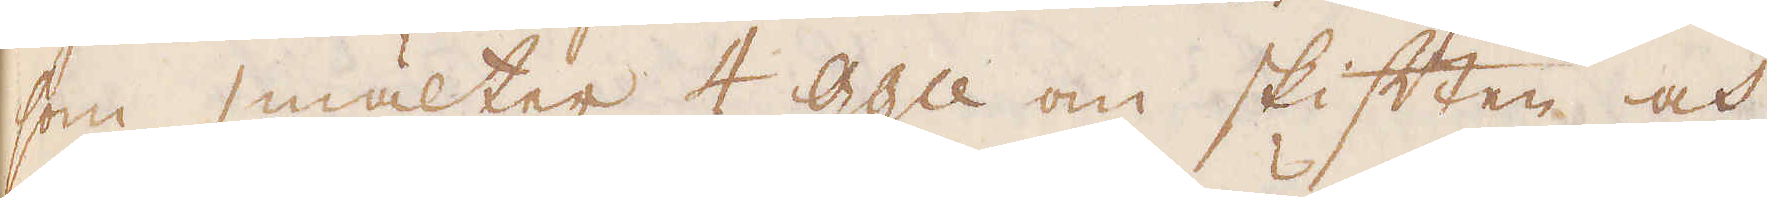som smälter 4 gg:n om skiften, och
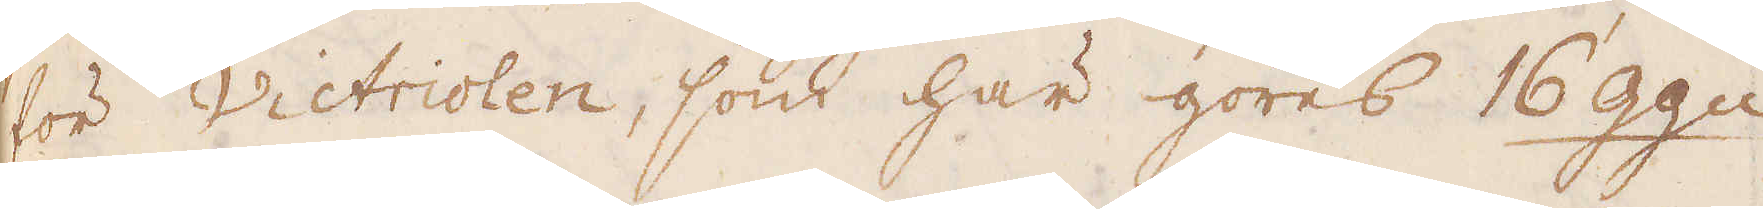för Victriolen, som här göres 16 gg:n
